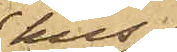hus
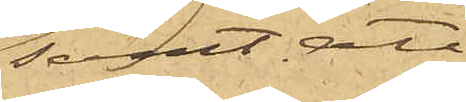samt att
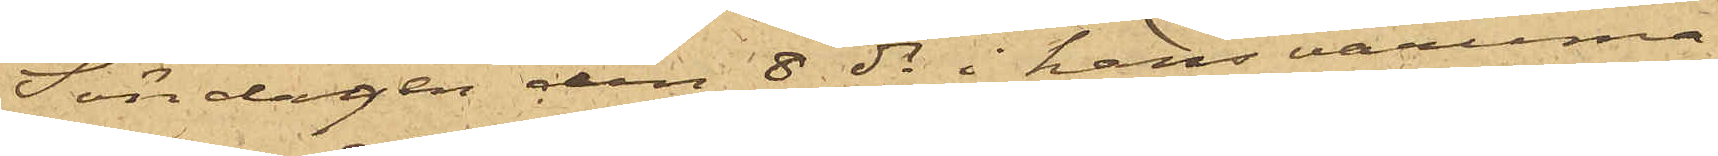Söndagen den 8 ds i hans varuma¬
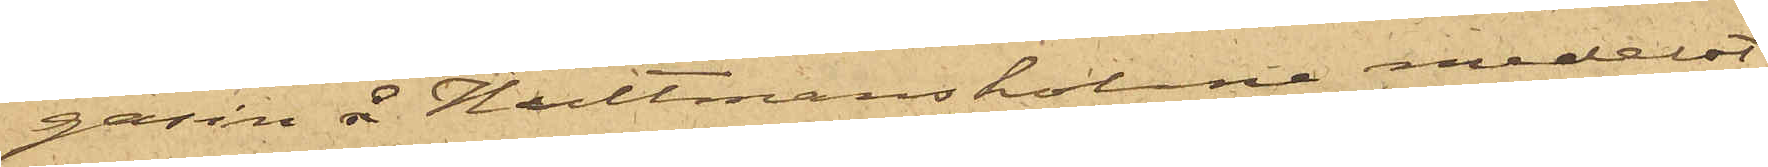gasin å Hultmans holme medelst
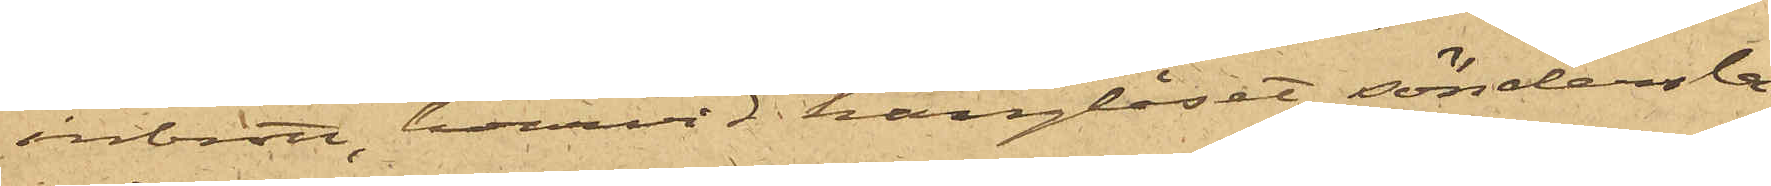inbrott, hvarvid hänglåset söndersla¬
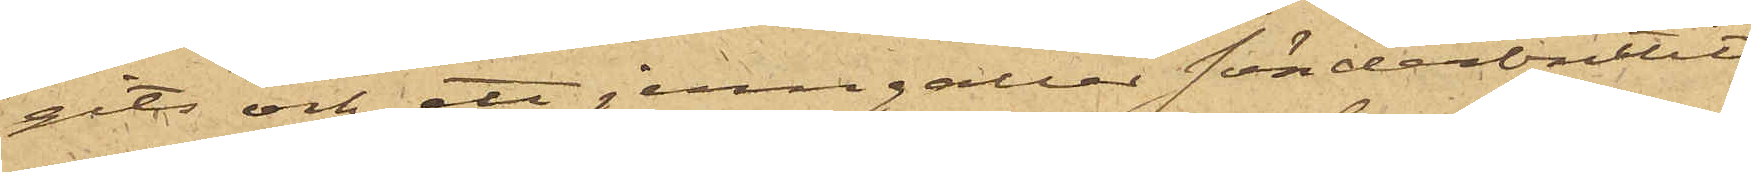gits och ett jerngallar sönderbrutits
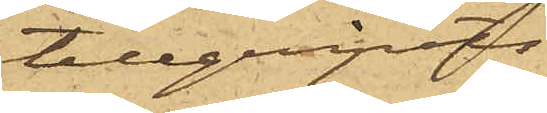tillgripits
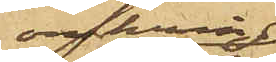omkring
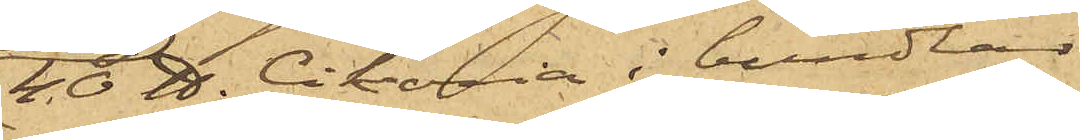40 ℔. Cikoria i bundtar,
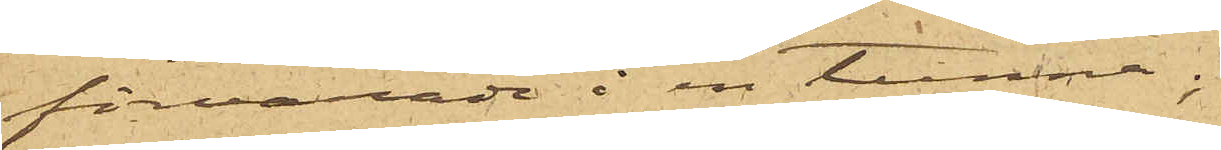förvarade i en tunna;
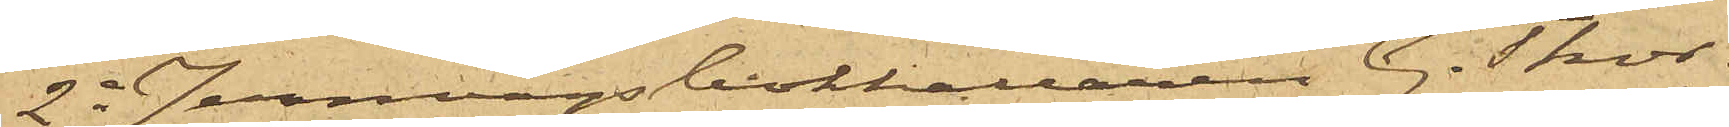2o Jernvägsbokhållaren G. Thor¬
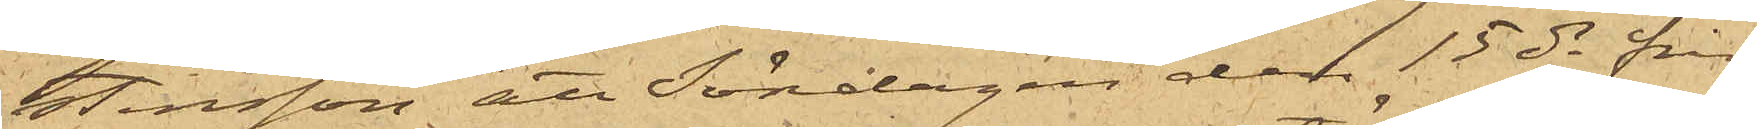stensson att Söndagen den 15 ds från
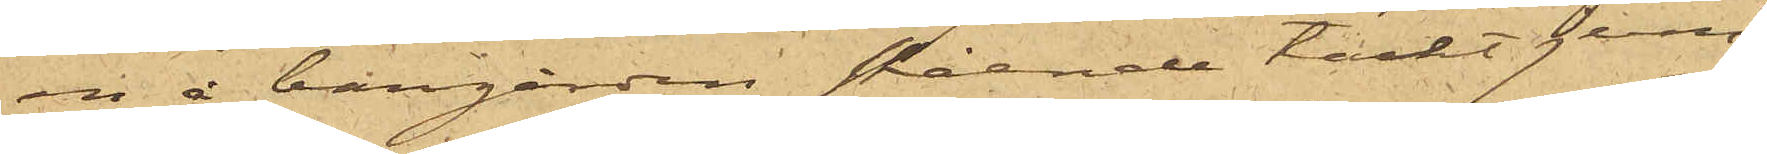en å bangården stående täckt jern¬
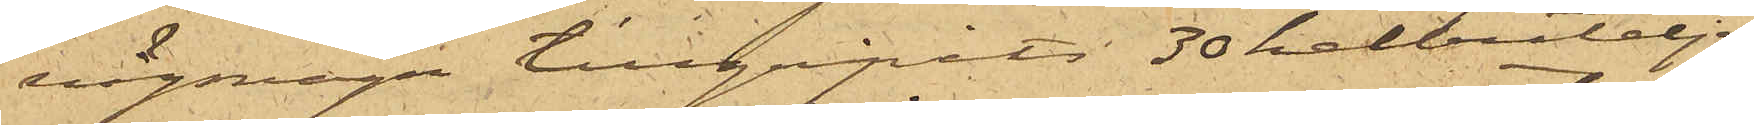vägsvagn tillgripits 30 helbuteljer
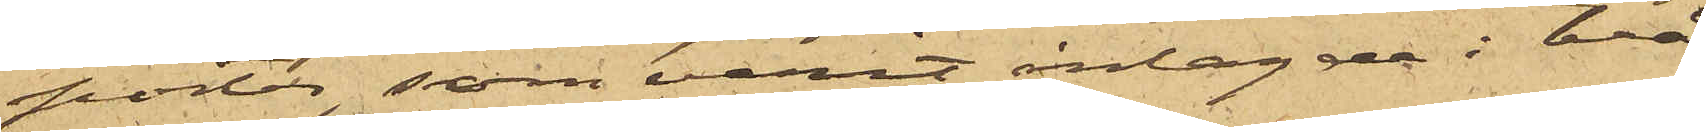porter, som varit inlagde i två
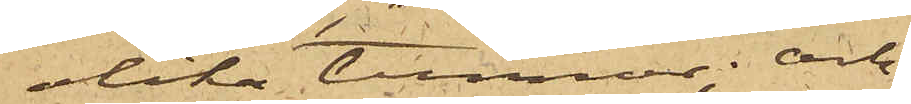olika tunnor; och
